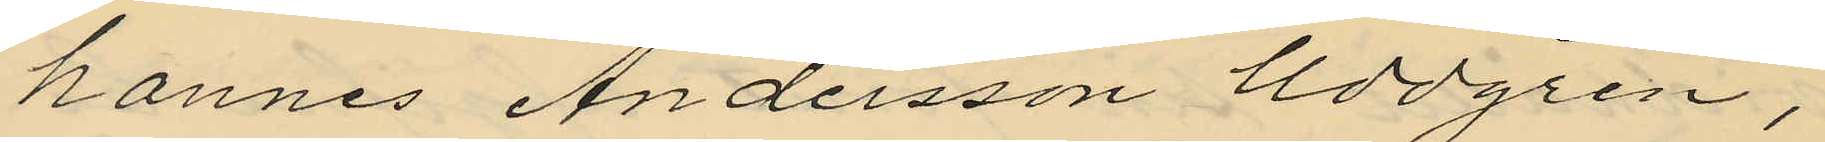hannes Andersson Uddgren,
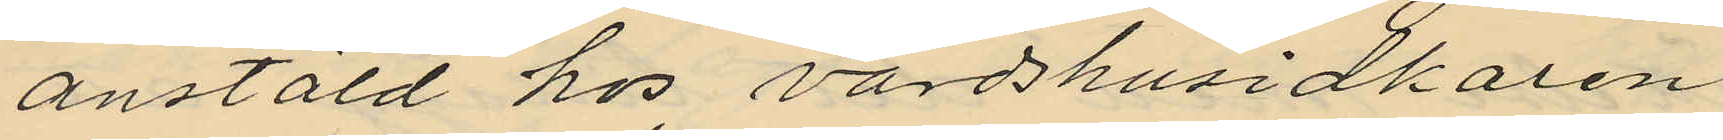anstäld hos värdshusidkaren
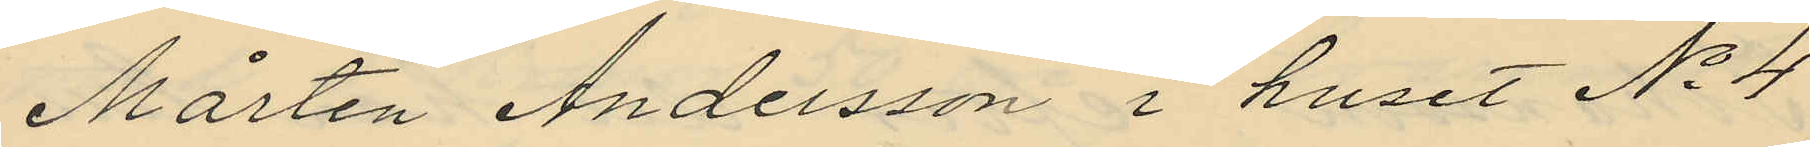Mårten Andersson i huset No 4
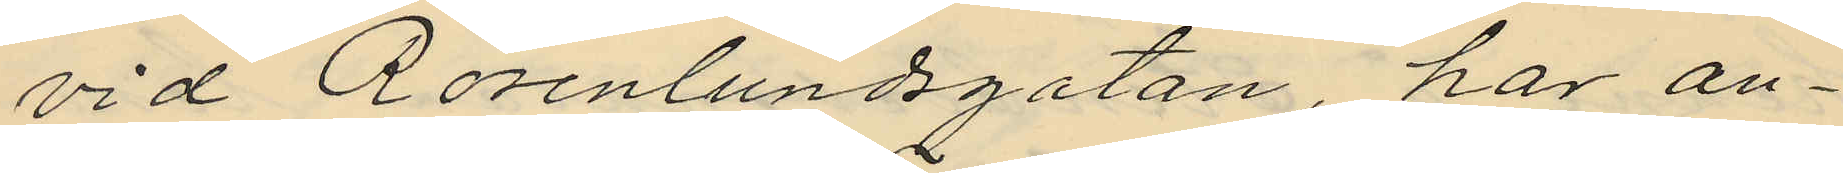vid Rosenlundsgatan, har an¬
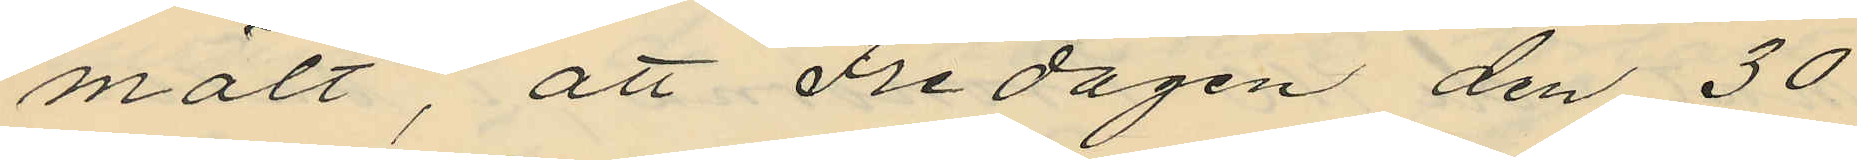mält, att Fredagen den 30
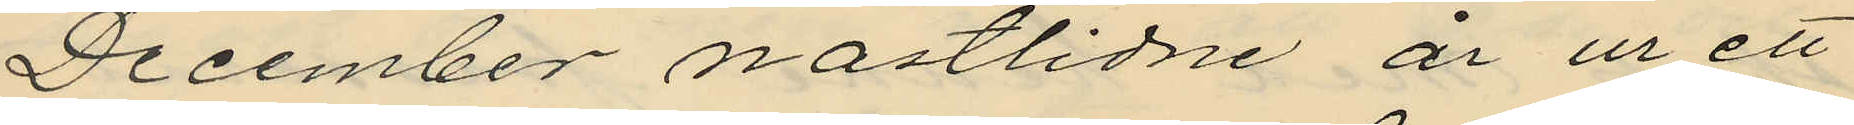December nästlidne år ur ett
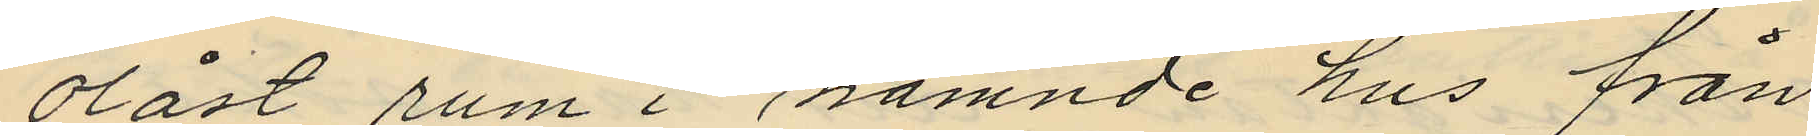olåst rum i nämnde hus från
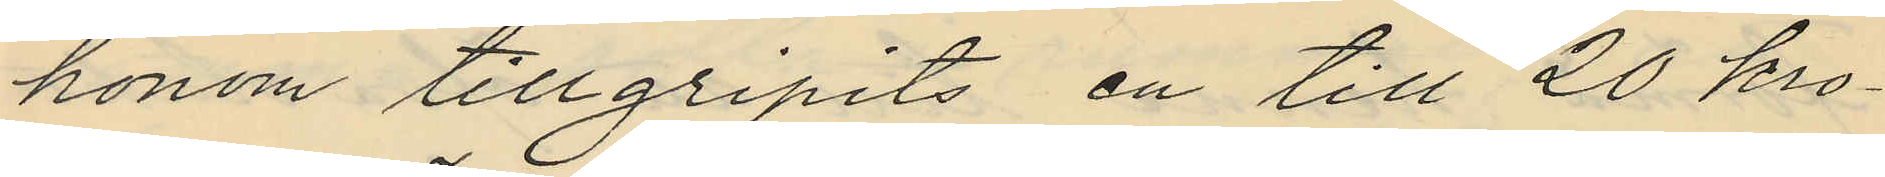honom tillgripits en till 20 kro¬
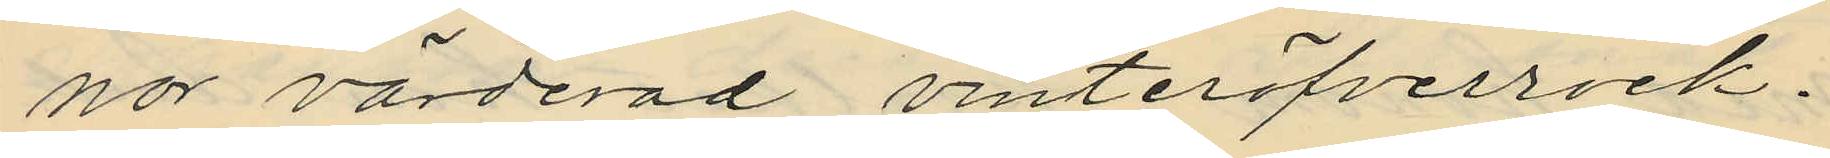nor värderad vinteröfverrock.
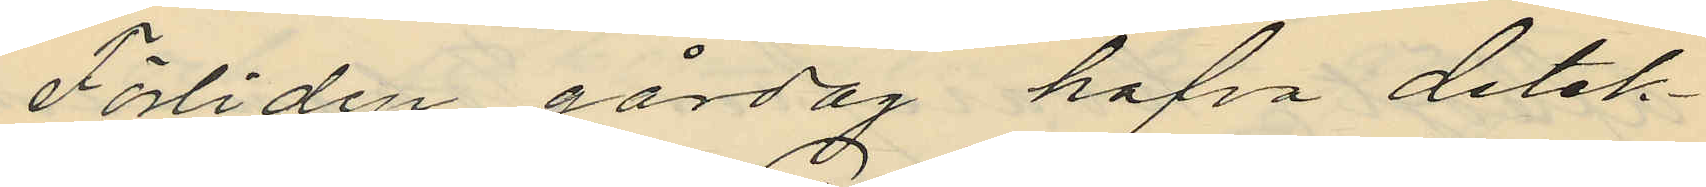Förliden gårdag hafva detek¬
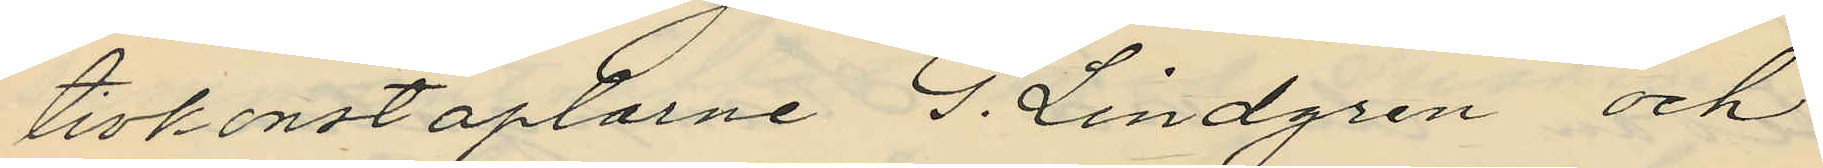tivkonstaplarne G. Lindgren och
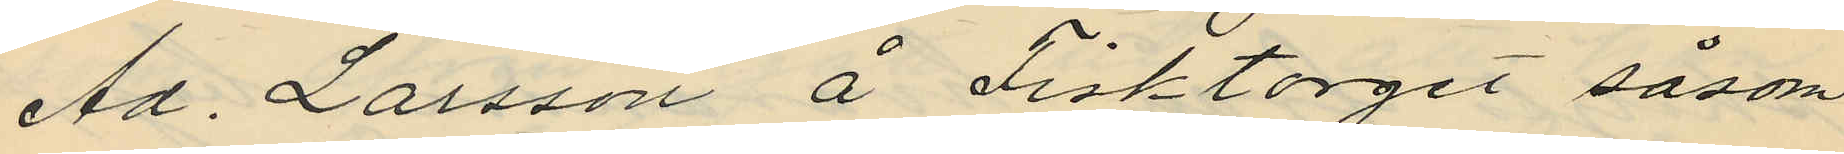Ad. Larsson å Fisktorget såsom
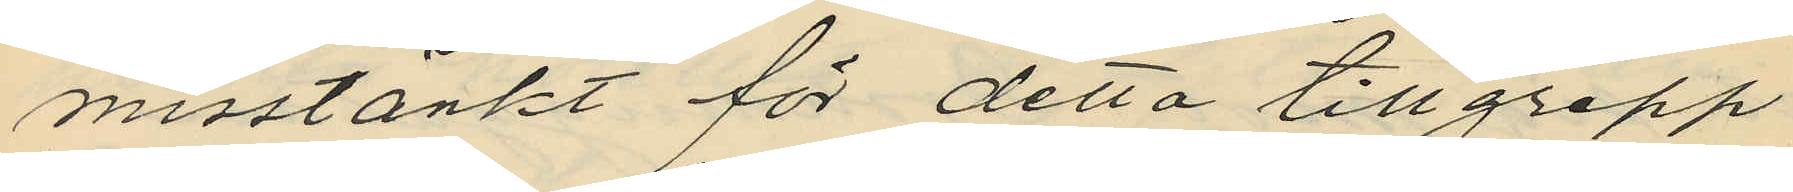misstänkt för detta tillgrepp
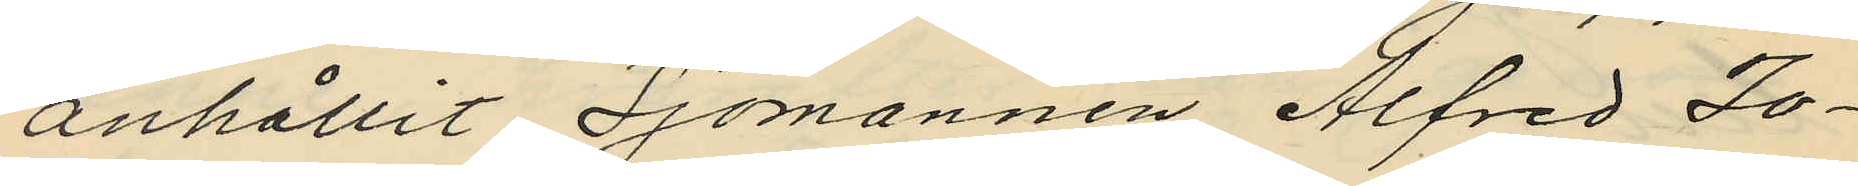anhållit Sjömannen Alfred Jo¬
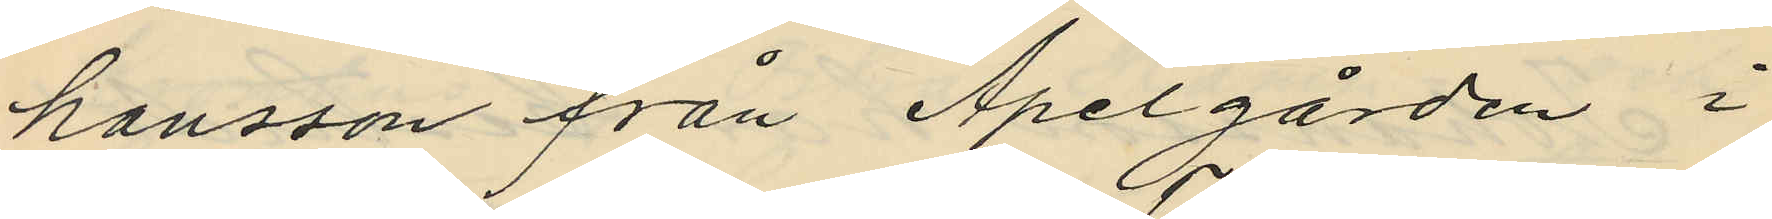hansson från Apelgården i
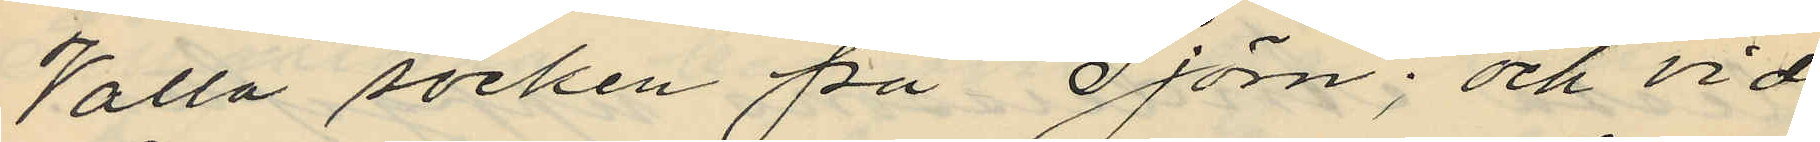Valla socken på Tjörn; och vid
